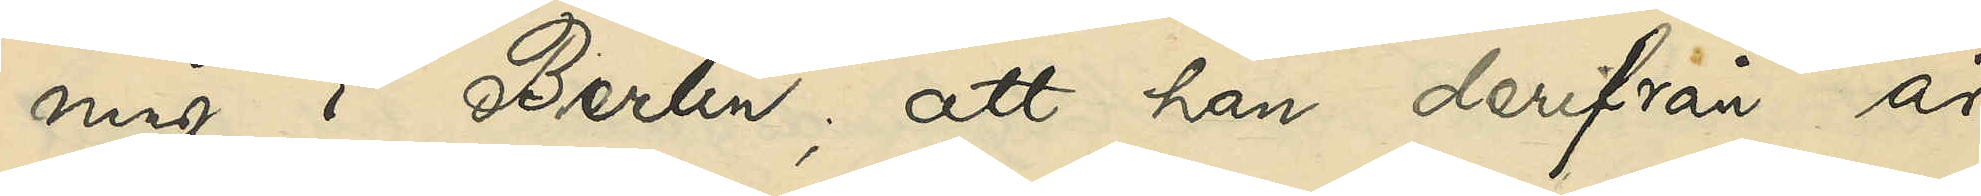ning i Berlin; att han derifrån år
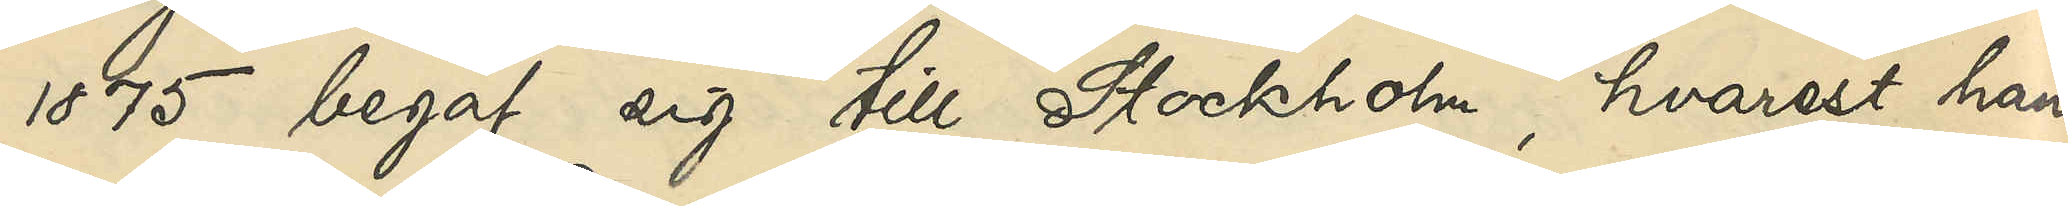1875 begaf sig till Stockholm, hvarest han
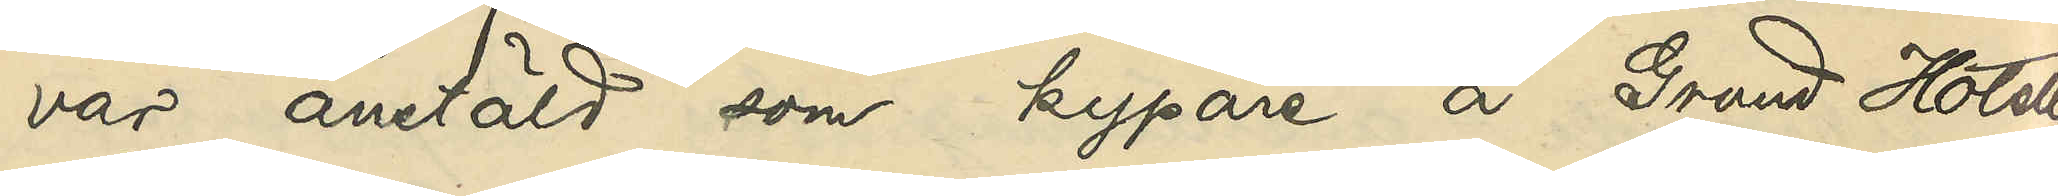var anstäld som kypare å Grand Hotell
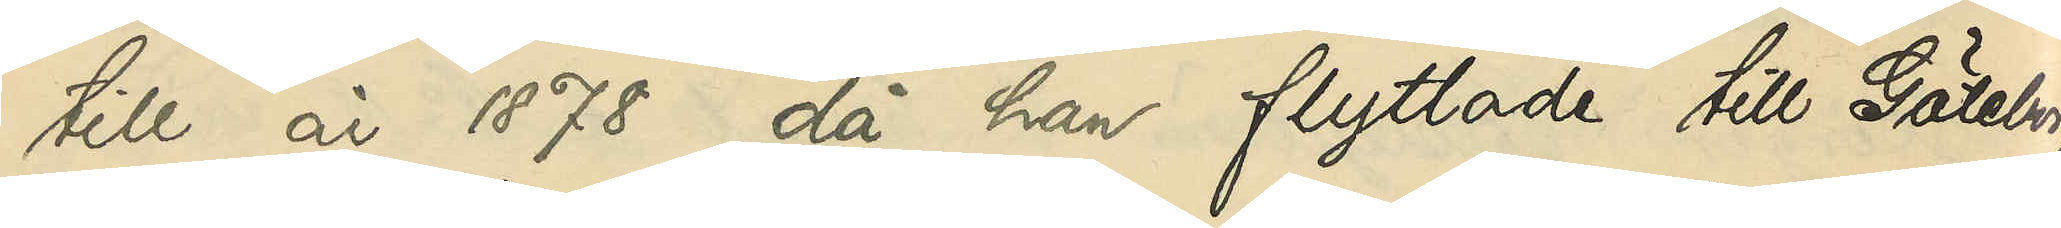till år 1878, då han flyttade till Göteborg,
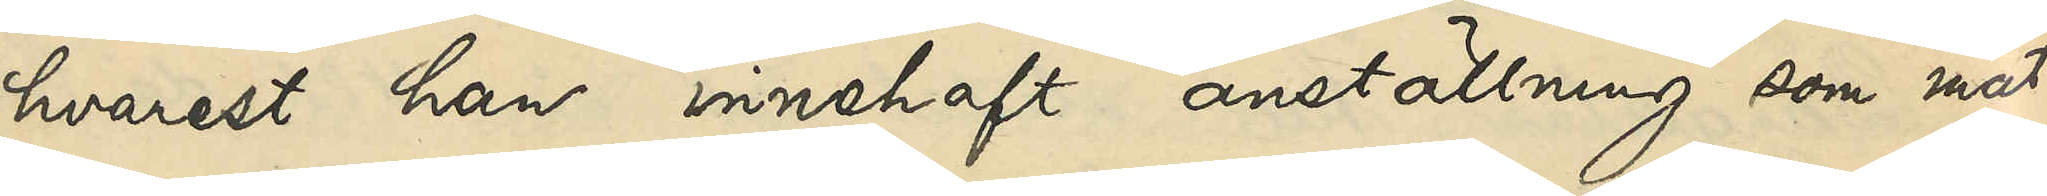hvarest han innehaft anställning som mat¬
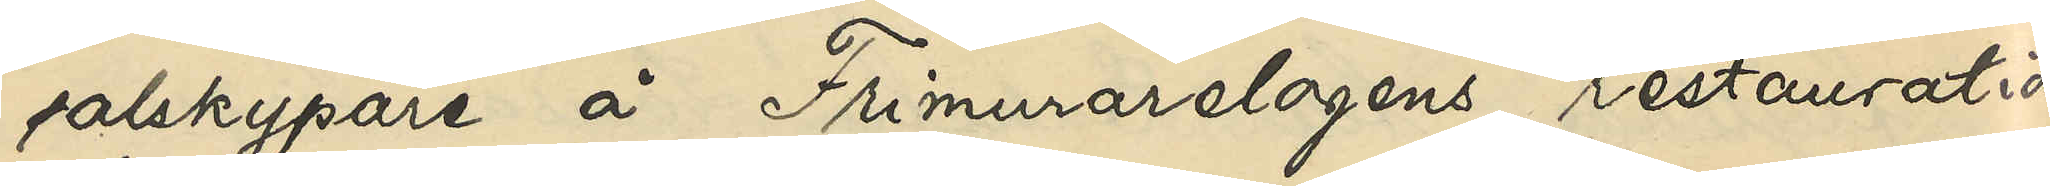salskypare å Frimurarelogens restauration
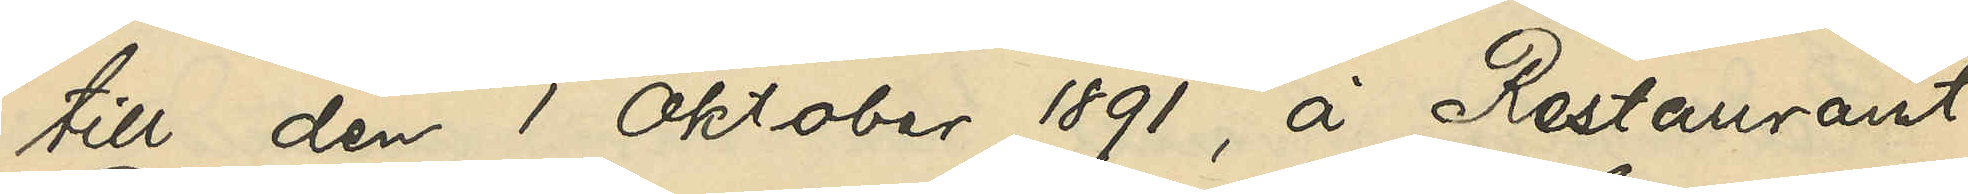till den 1 Oktober 1891, å Restaurant
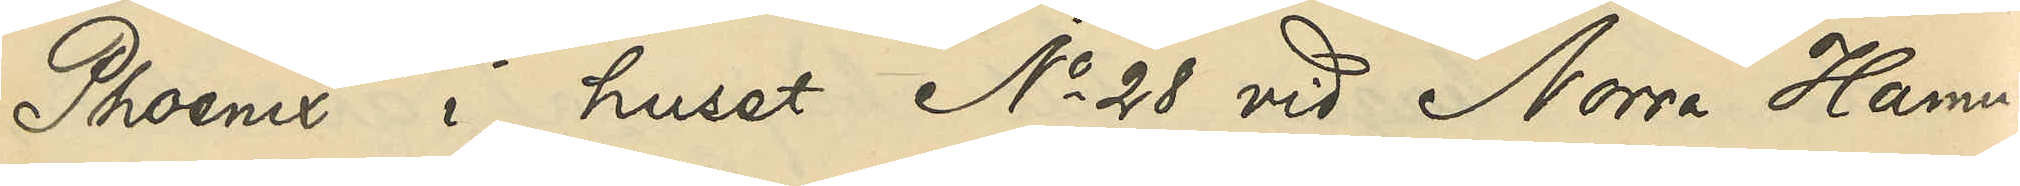Phoenix i huset No 28 vid Norra Hamn¬
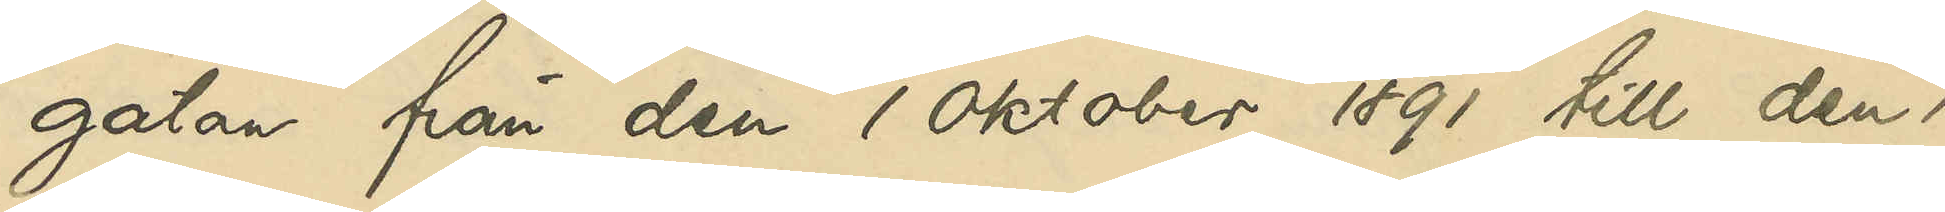gatan från den 1 Oktober 1891 till den 1
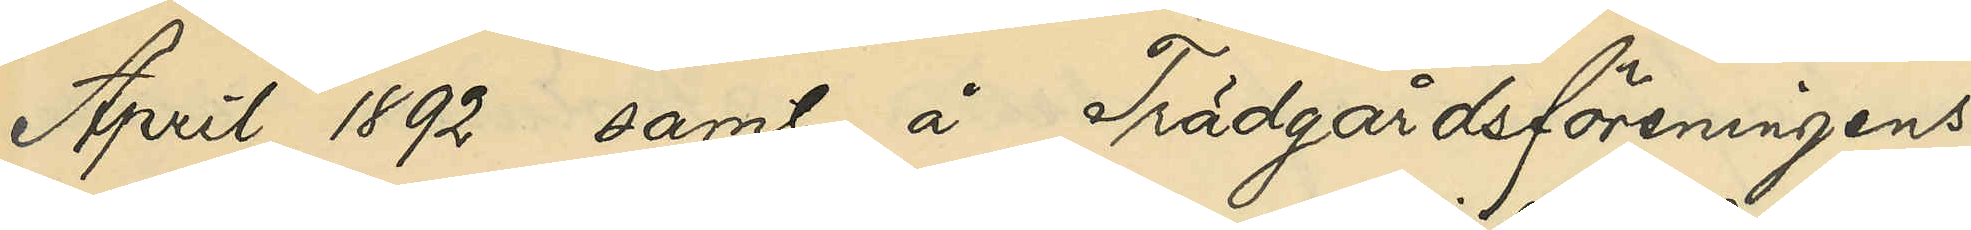April 1892 samt å Trädgårdsföreningens
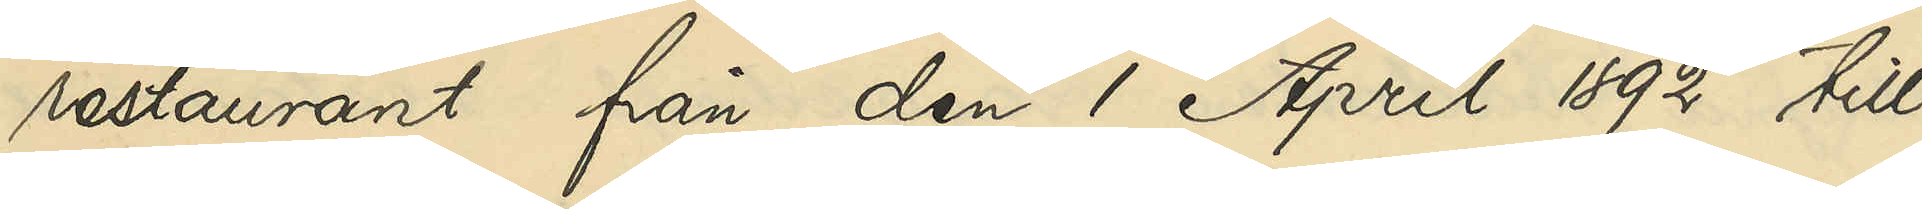restaurant från den 1 April 1892 till
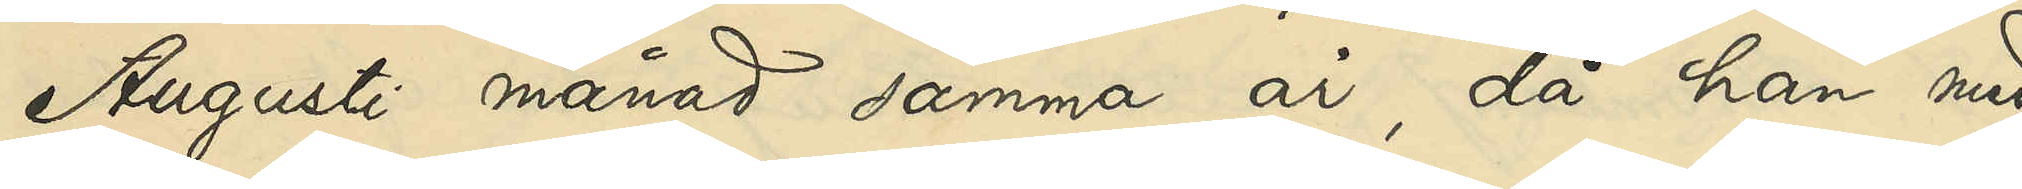Augusti månad samma år, då han med
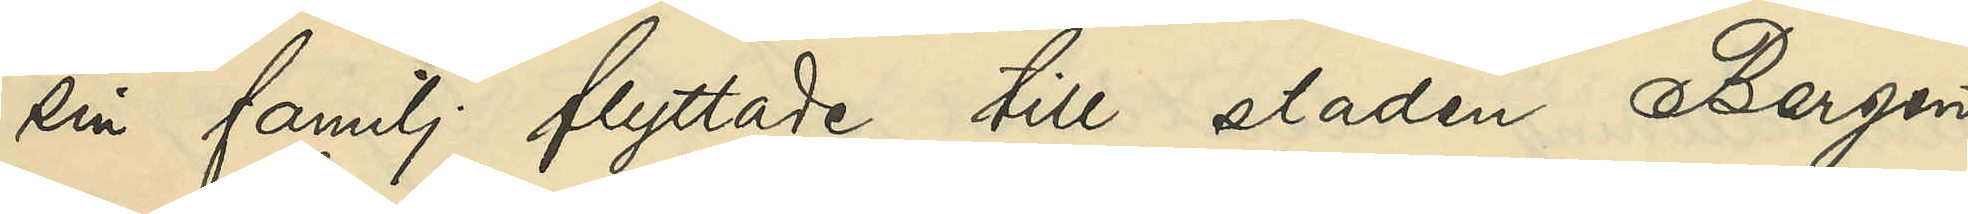sin familj flyttade till staden Bergen
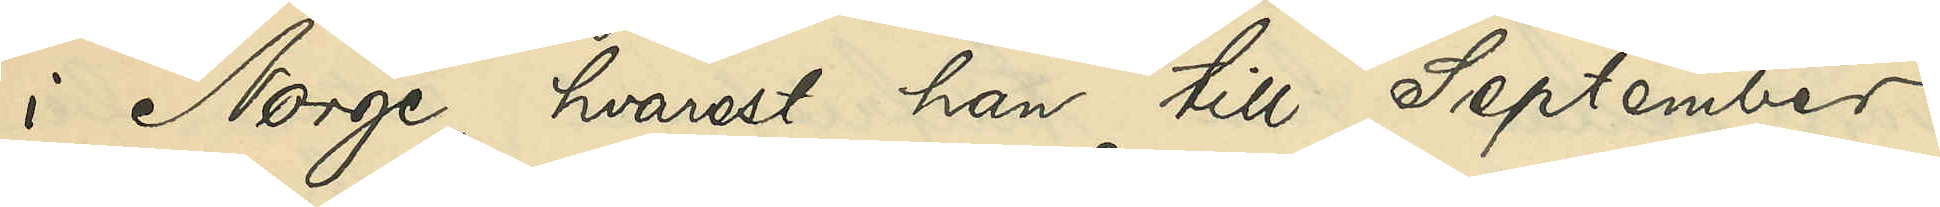i Norge, hvarest han till September
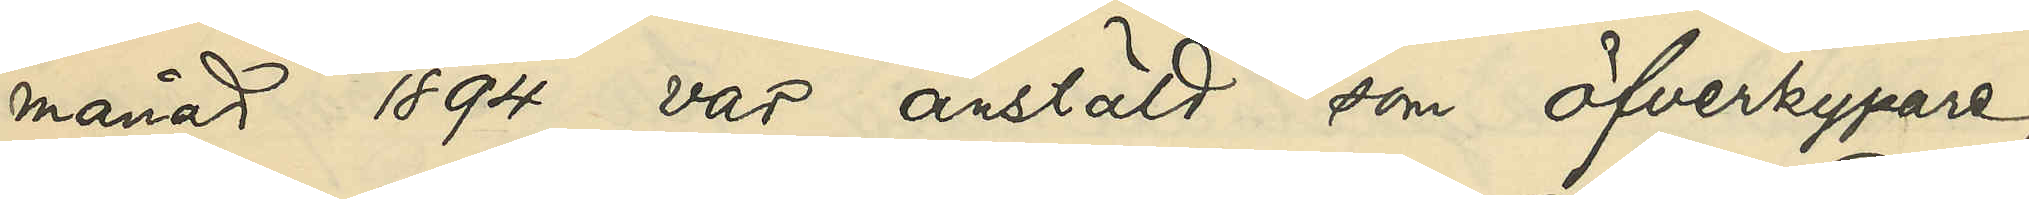månad 1894 var anstäld som öfverkypare,
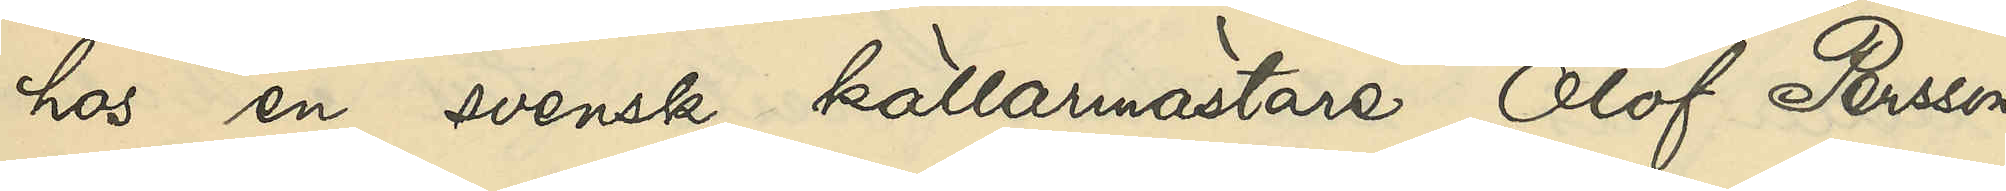hos en svensk källarmästare Olof Persson,
